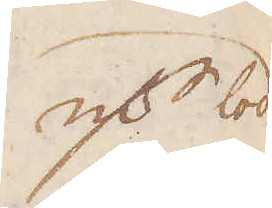qv:r lod
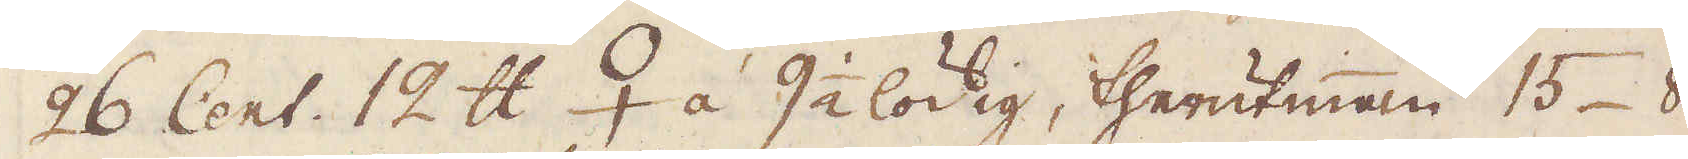26 Cent. 12 skålpund ♀ á 9 1/2 lödig, therutinnan 15 8
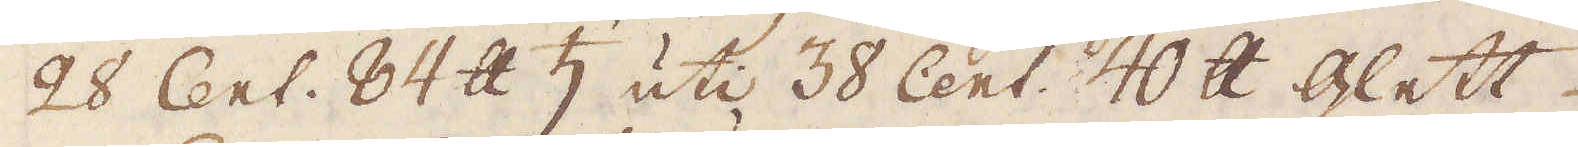28 Cent. 84 skålpund ♄ uti 38 Cent. 40 skålpund Glett
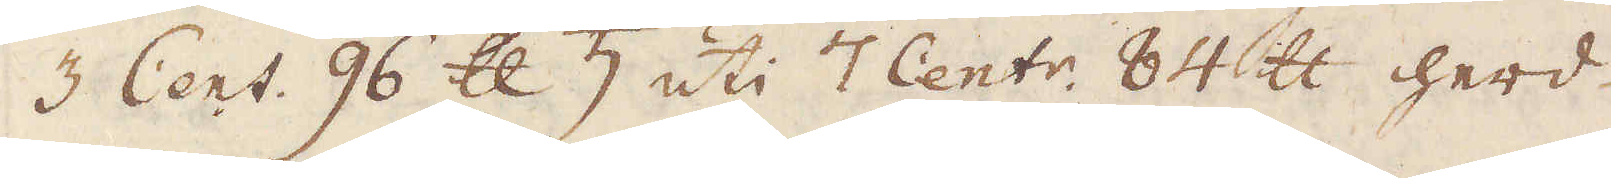3 Cent. 96 skålpund ♄ uti 7 Cent:r 84 skålpund herd.
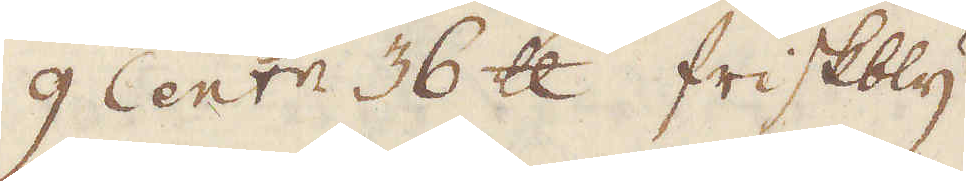9 Cent 36 skålpund friskbly
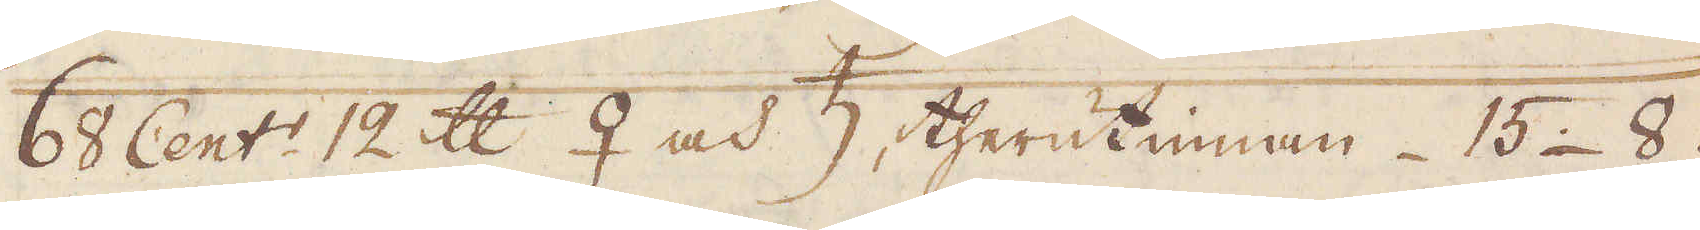68 Cent:r 12 skålpund ♀ och ♄, therutinnan 15. 8.
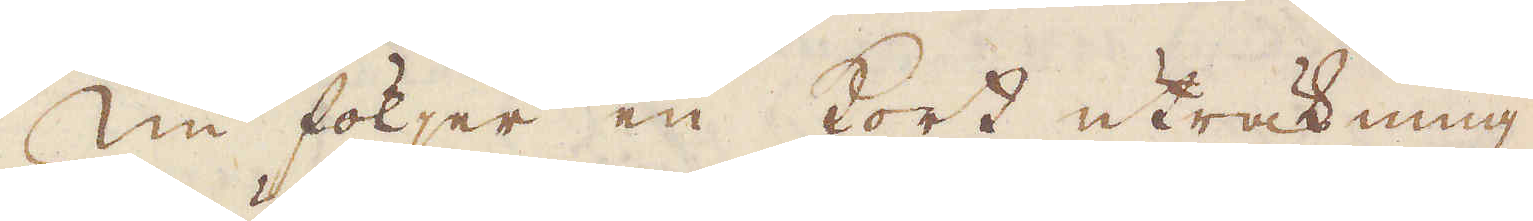Nu följer en kort uträkning,
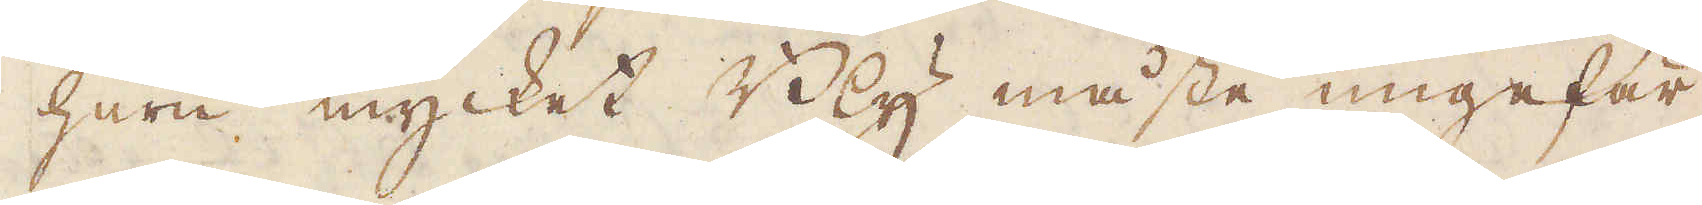huru mycket Bly måste ungefär
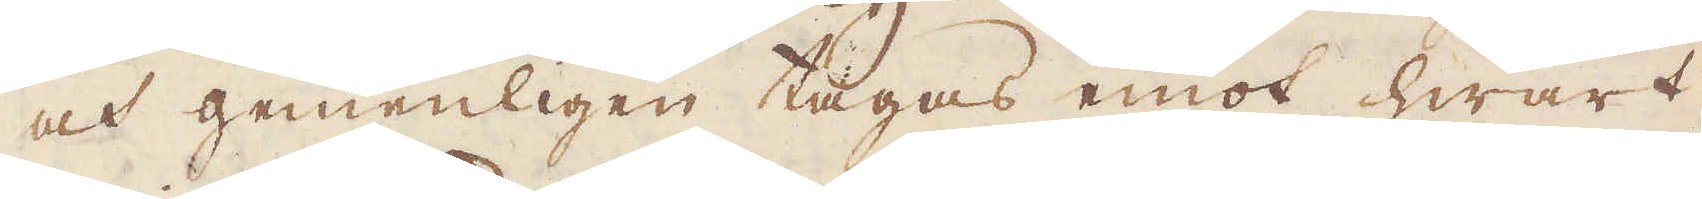och gemenligen tagas emot hwart
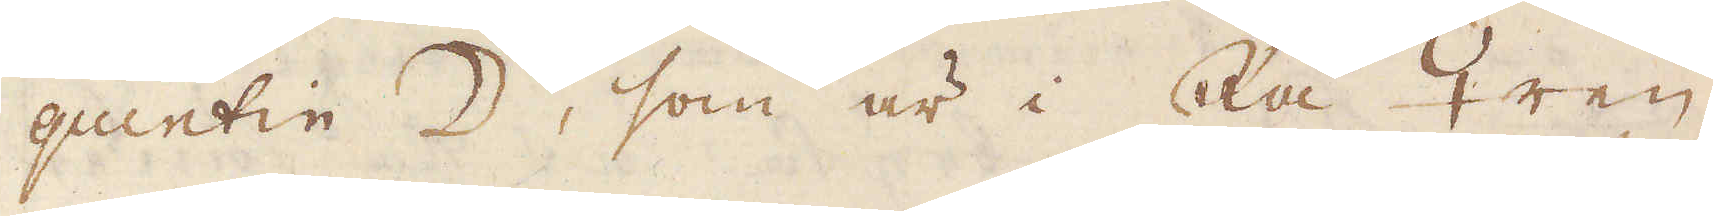quentin ☽, som är i Rå ♀ren,
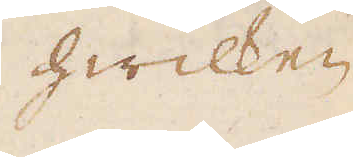hwilken
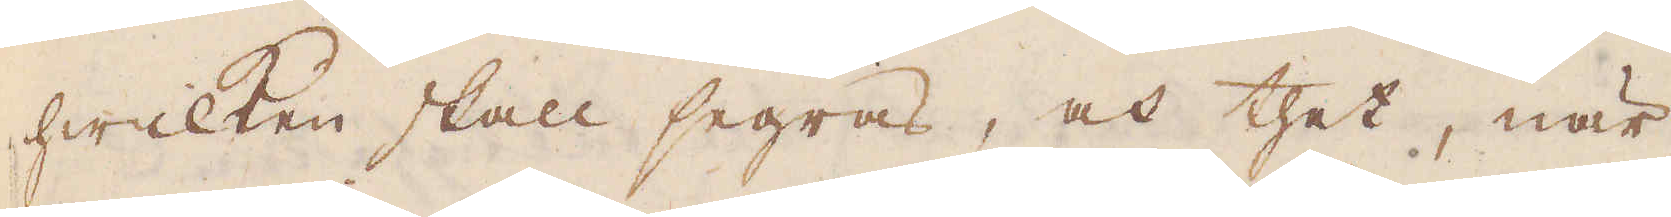hwilken skall segras, och thet, när
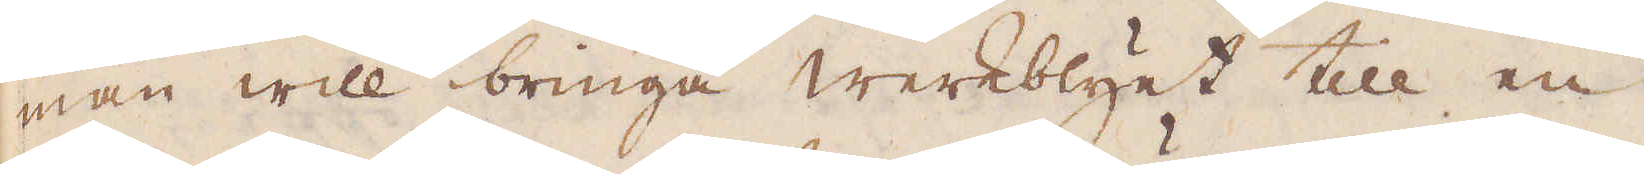man will bringa werkblyet till en
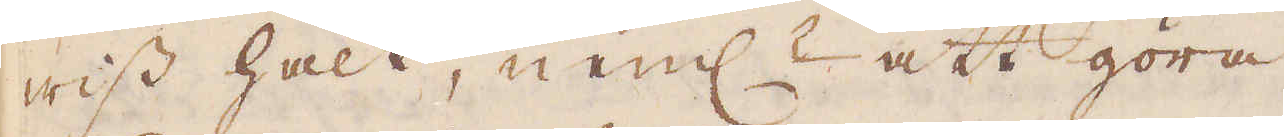wiss halt, neml: att göra
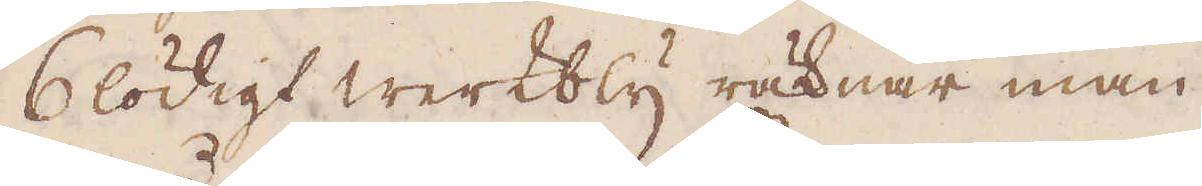6lödigt werkbly räknar man
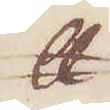skålpund
